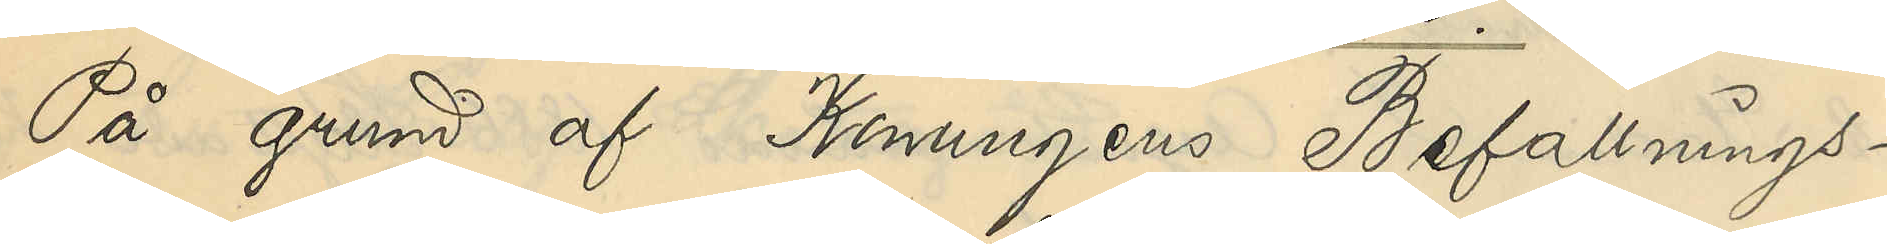På grund af Konungens Befallnings¬
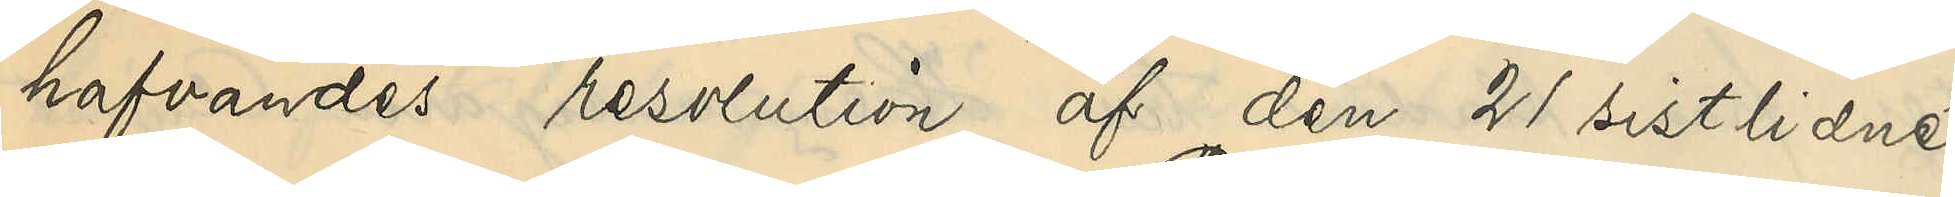hafvandes resolution af den 21 sistlidne
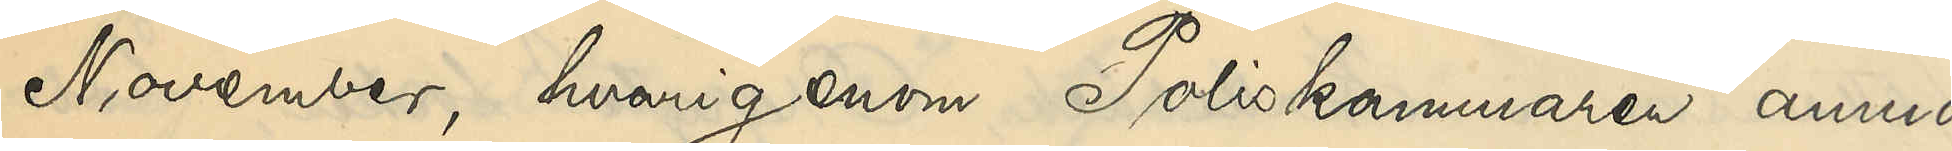November, hvarigenom Poliskammaren anmo¬
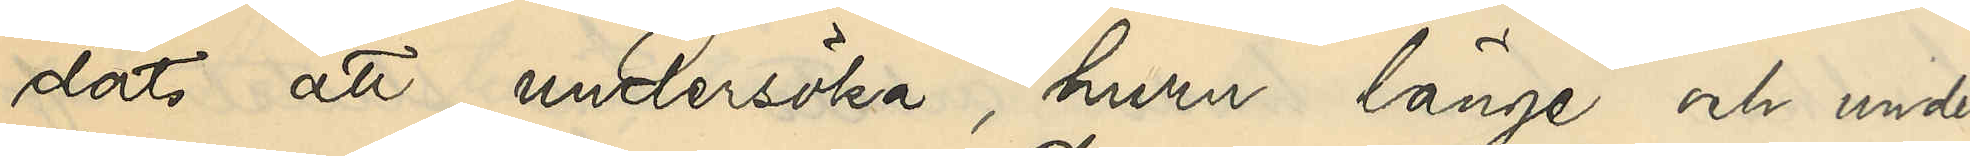dats att undersöka, huru länge och under
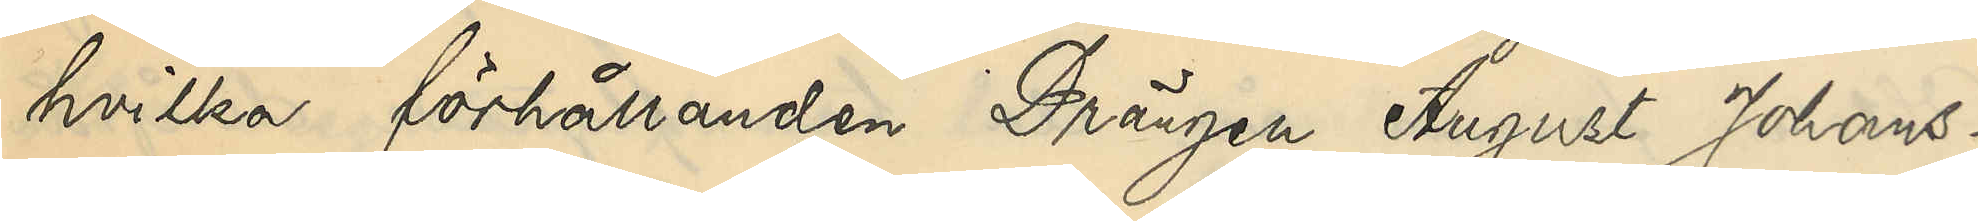hvilka förhållanden Drängen August Johans¬
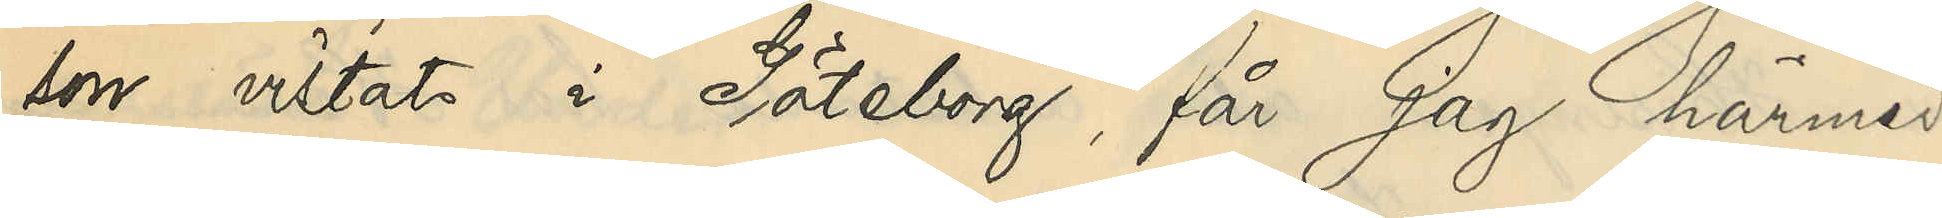son vistats i Göteborg, får jag härmed
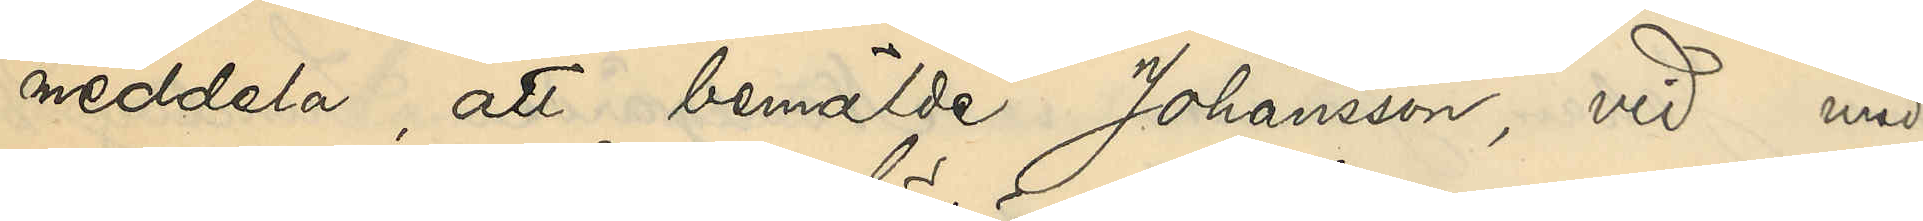meddela, att bemälde Johansson, vid med
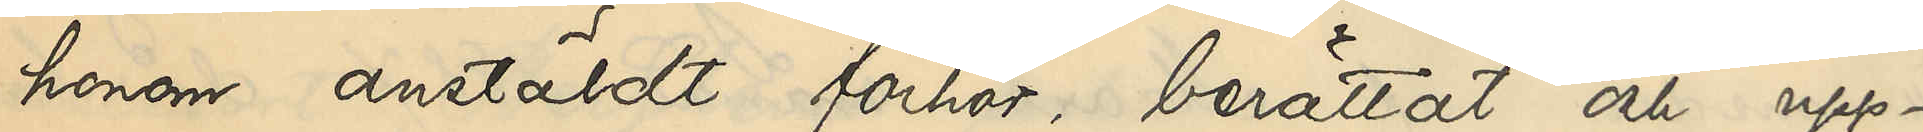honom anstäldt förhör, berättat och upp¬
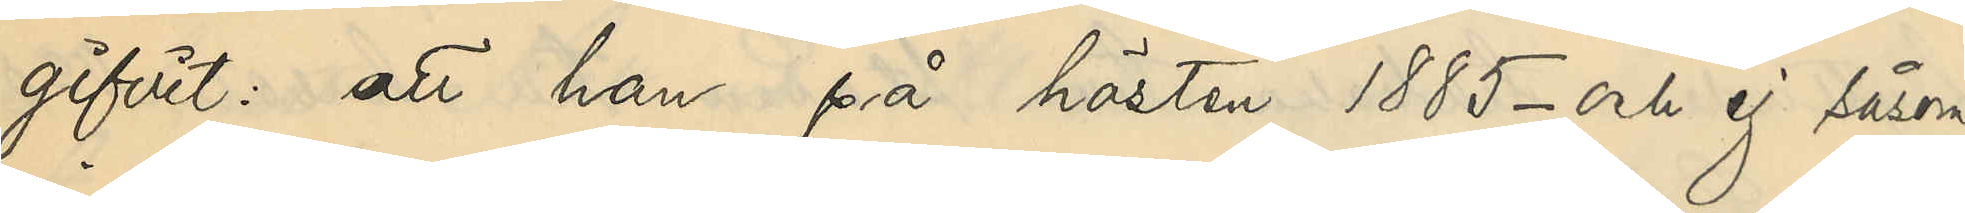gifvit: att han på hösten 1885 - och ej såsom
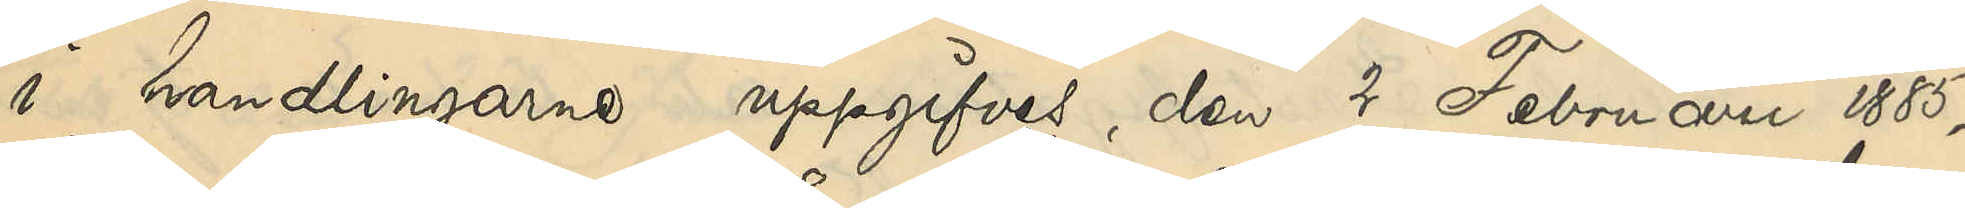i handlingarne uppgifves, den 2 Februari 1885 -
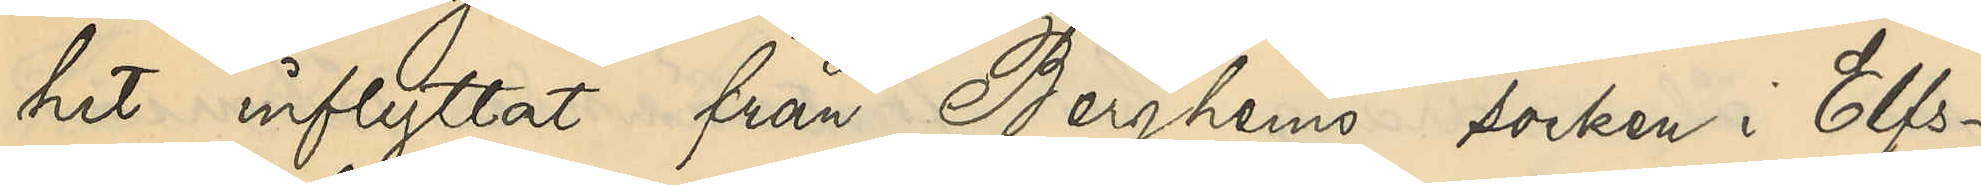hit inflyttat från Berghems socken i Elfs¬
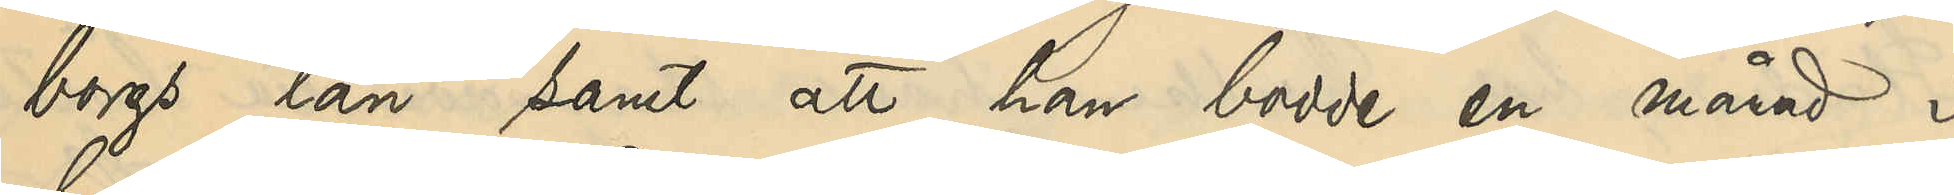borgs län samt att han bodde en månad i
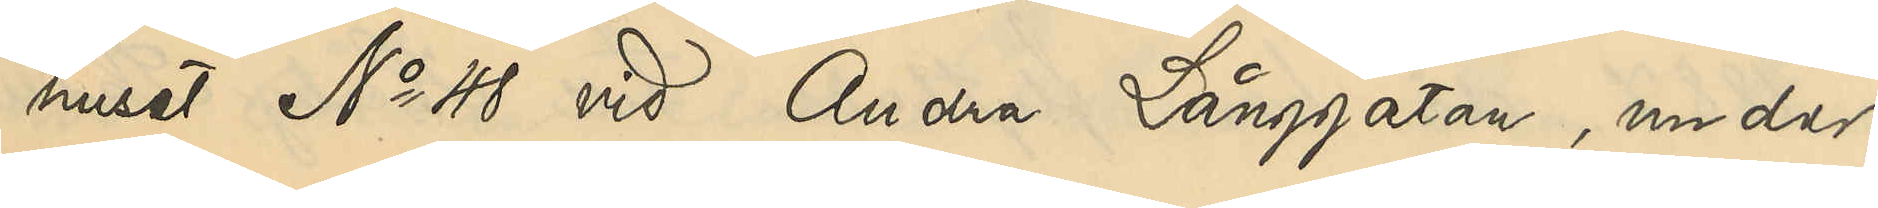huset No 48 vid Andra Långgatan, under
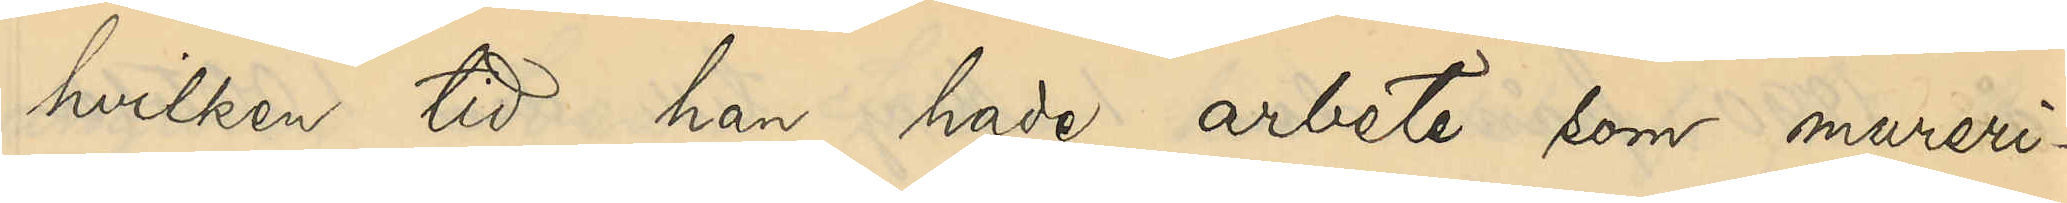hvilken tid han hade arbete som mureri¬
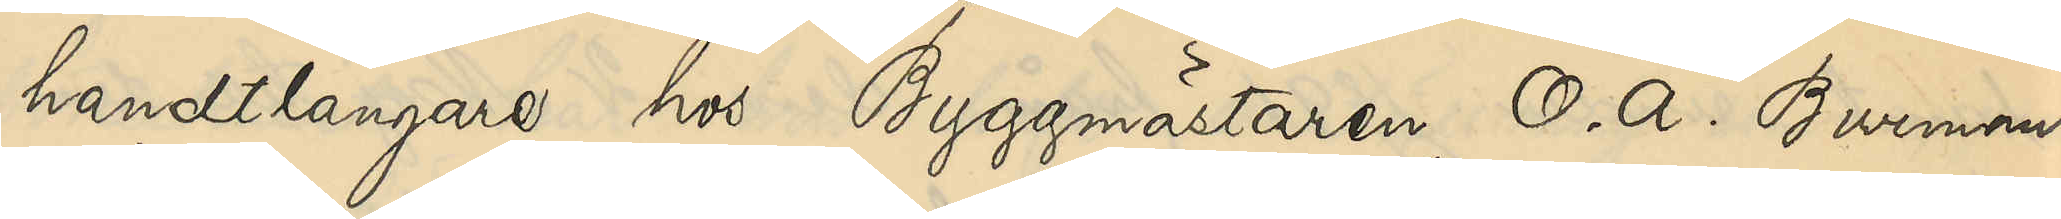handtlangare hos Byggmästaren O. A. Burman.
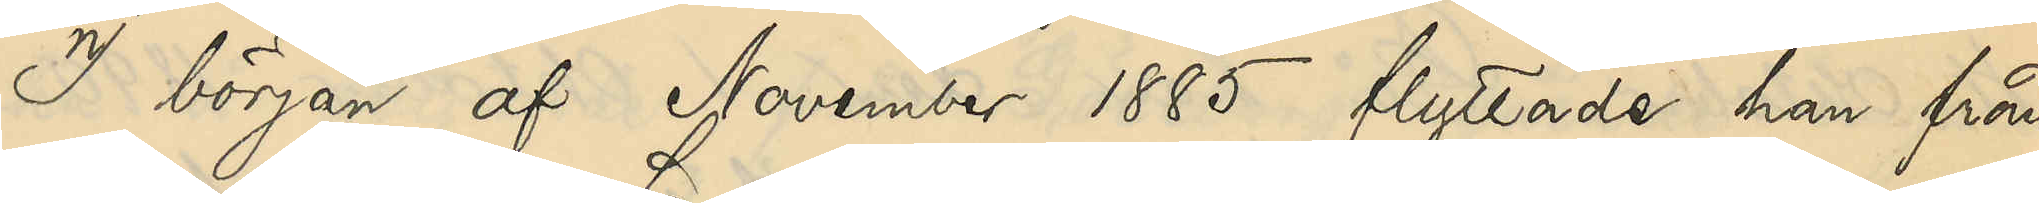I början af November 1885 flyttade han från
